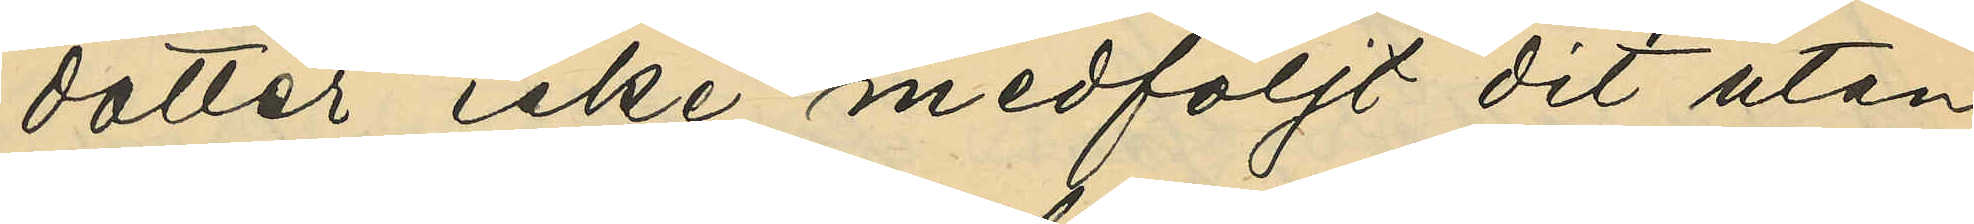dotter, icke medföljt dit utan
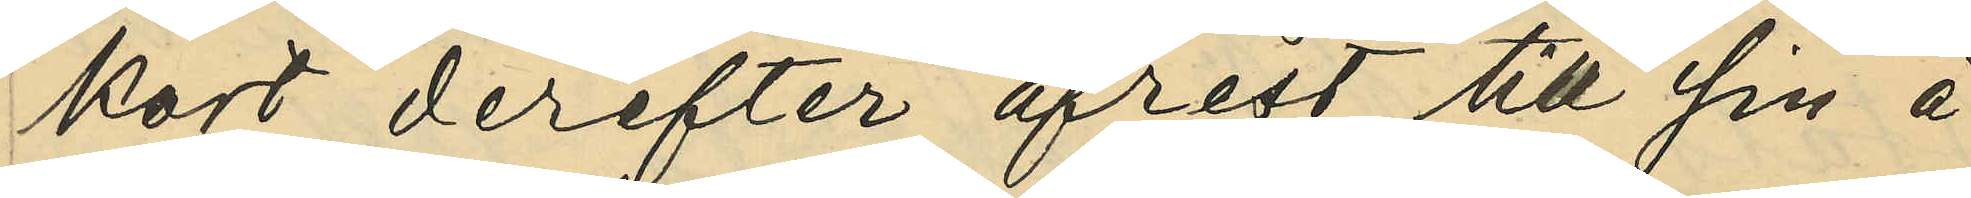kort derefter afrest till sin å
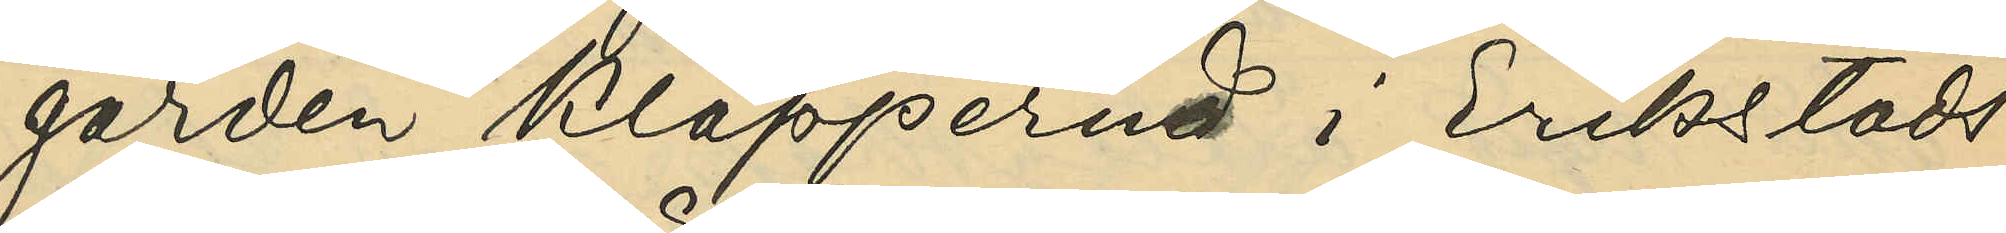gården Kläpperud i Erikstads
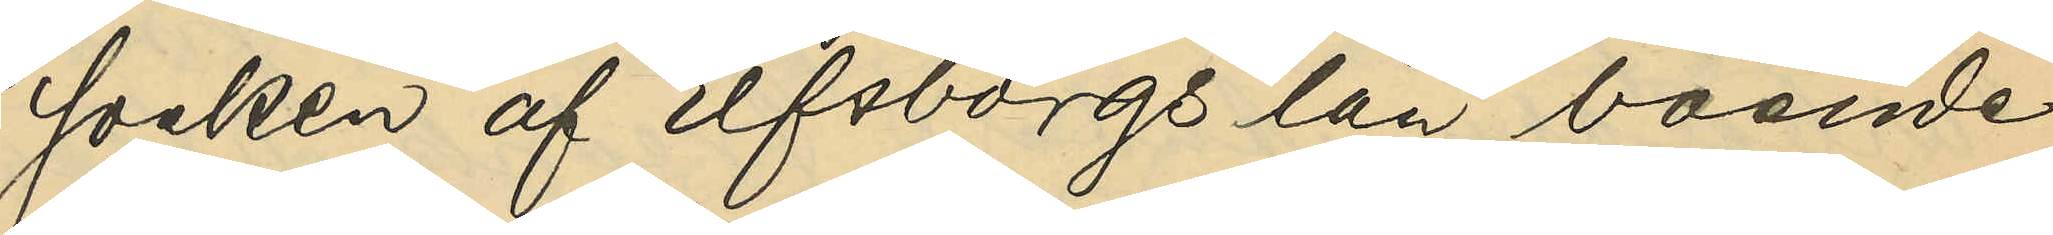socken af Elfsborgs län boende
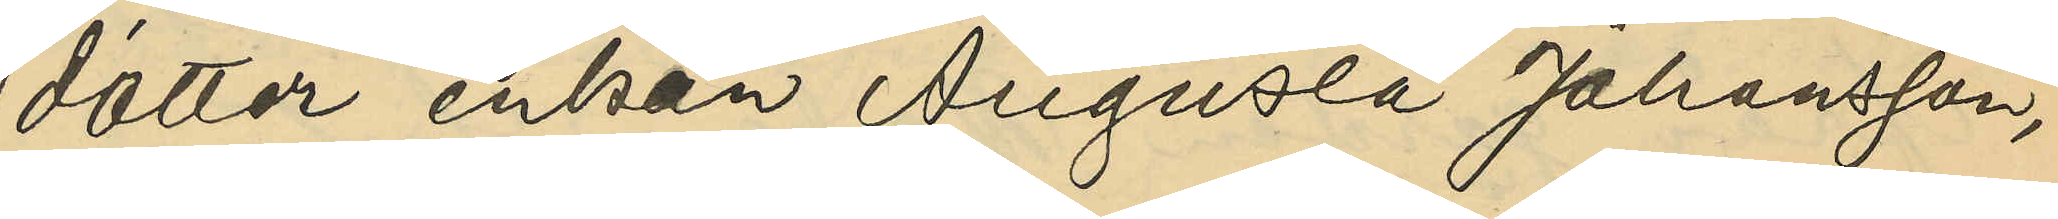dotter enkan Augusta Johansson,
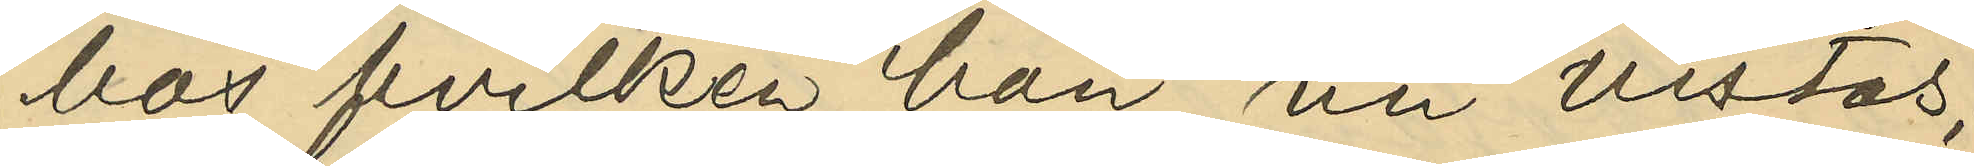hos hvilken hon nu vistas;
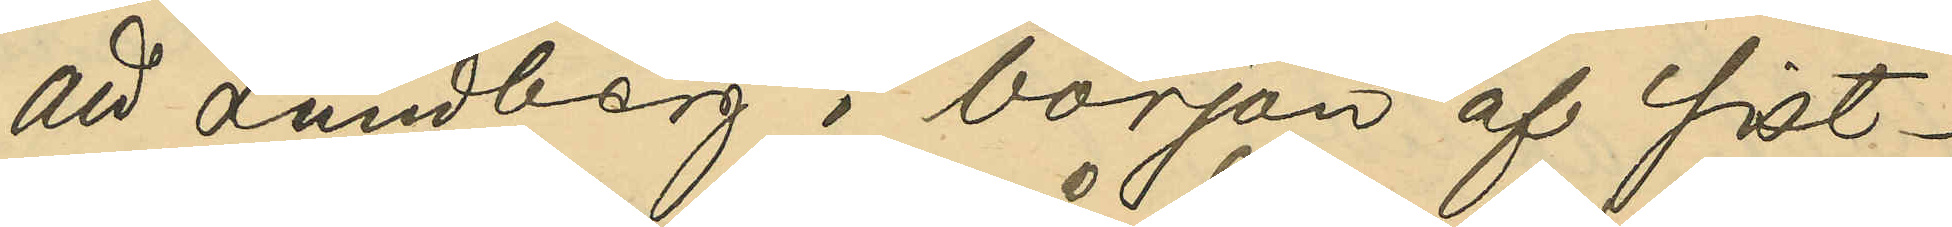att Lundberg i början af sist¬
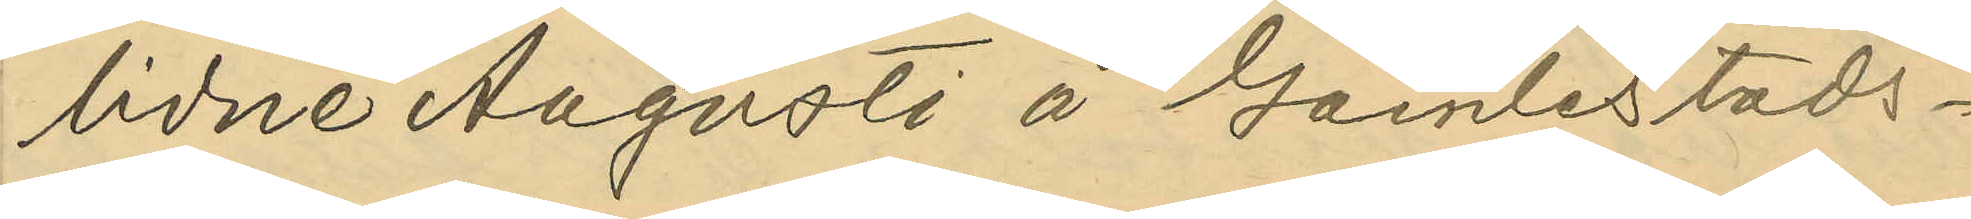lidne Augusti å Gamlestads¬
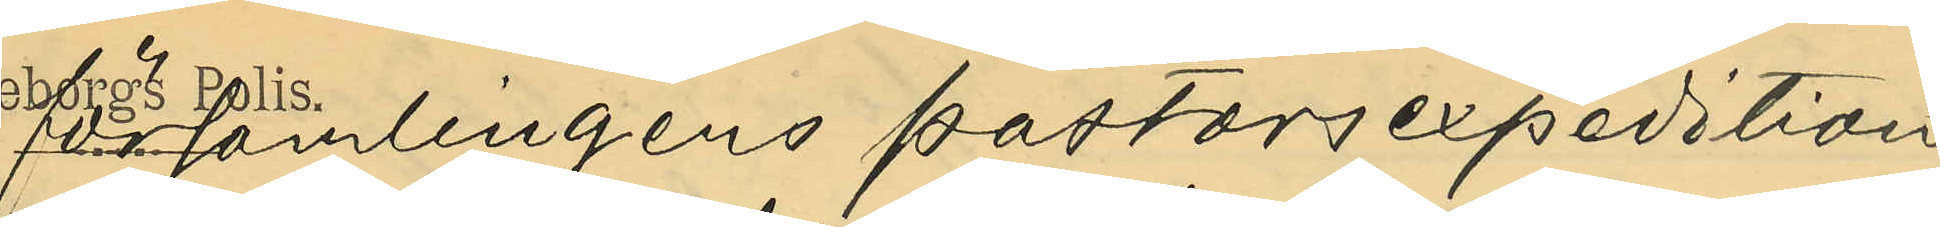församlingens pastorsexpedition
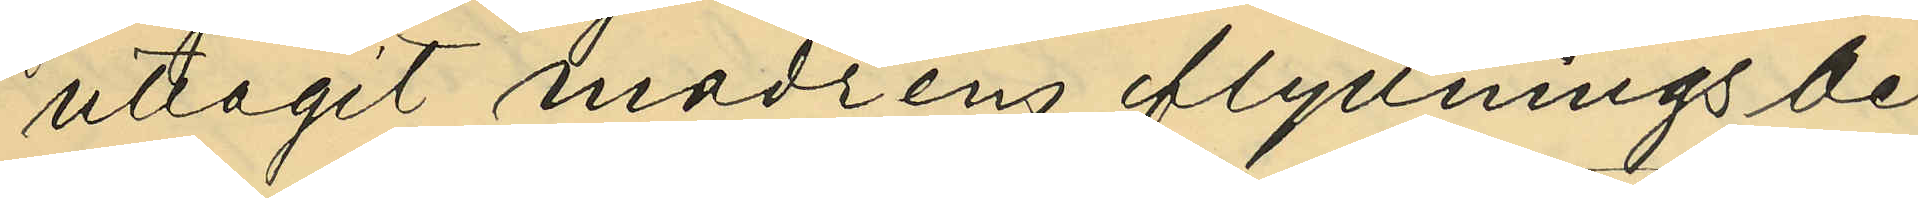uttagit moderns flyttningsbe¬
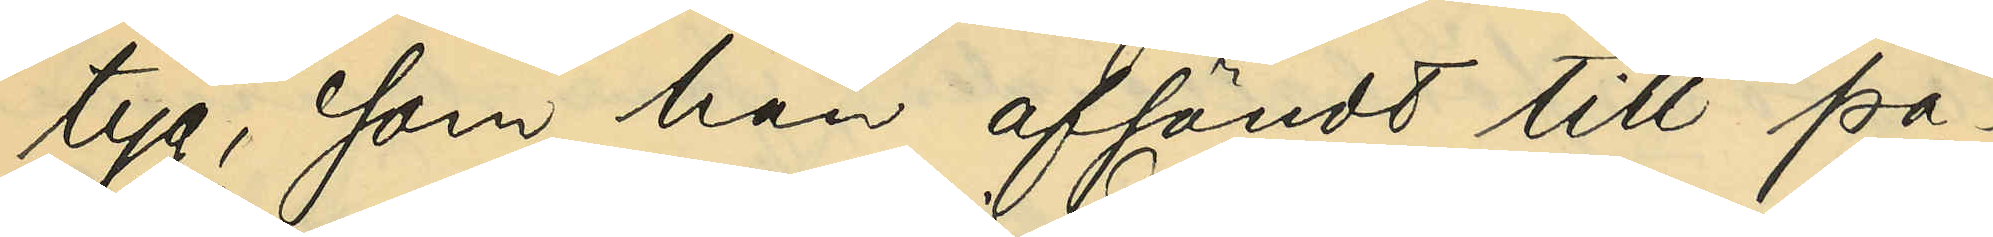tyg, som han afsändt till pa¬
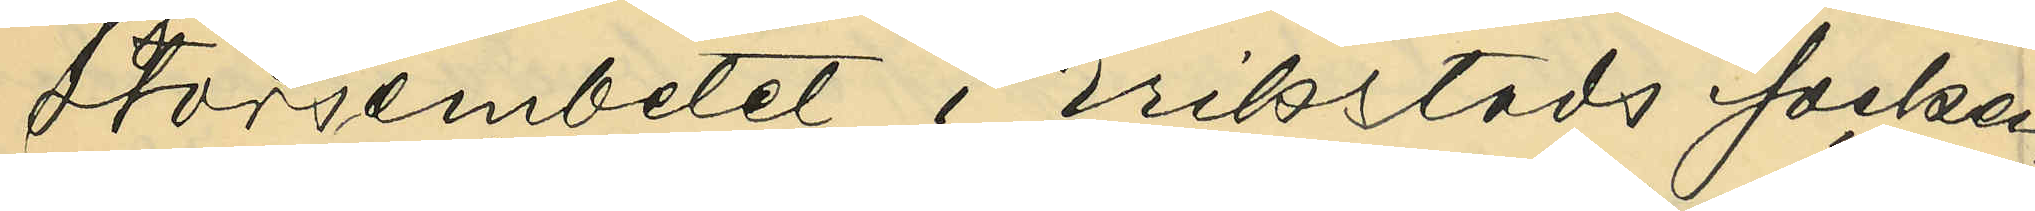storsembetet i Erikstads socken,
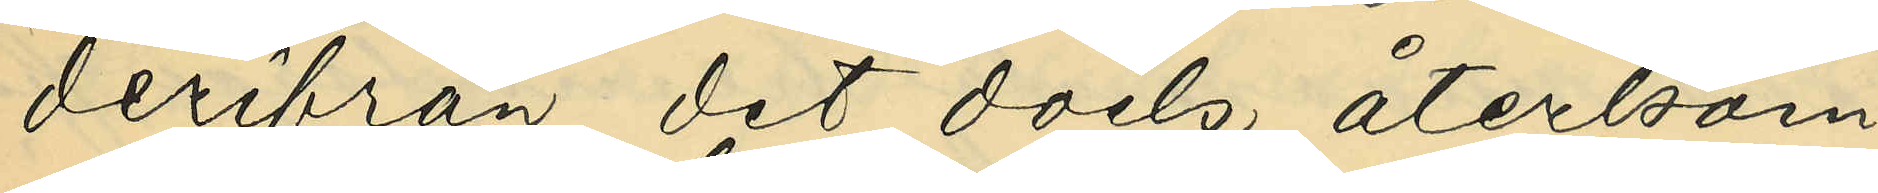derifrån det dock återkom¬
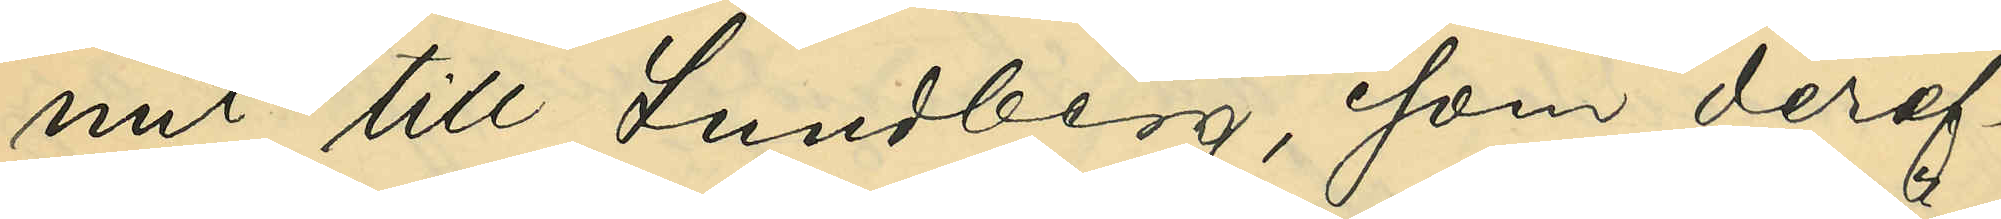mit till Lundberg, som deref¬
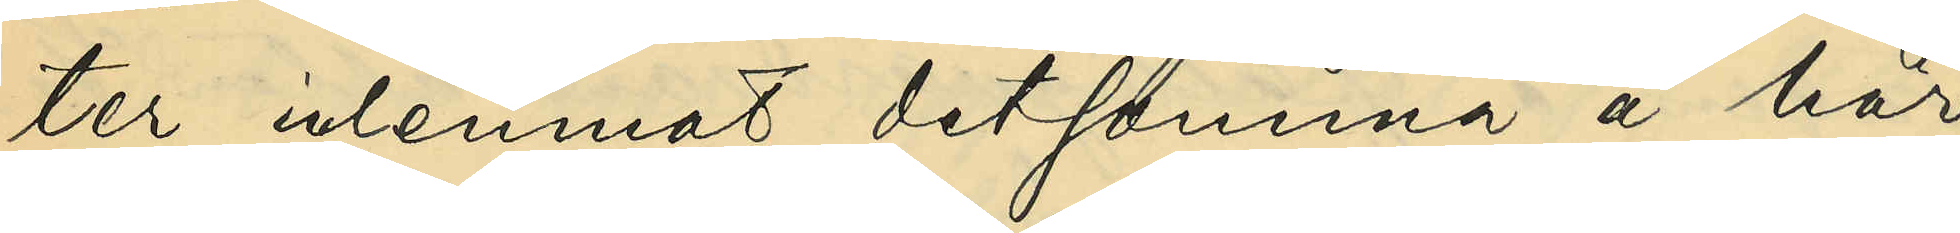ter inlemnat detsamma å här¬
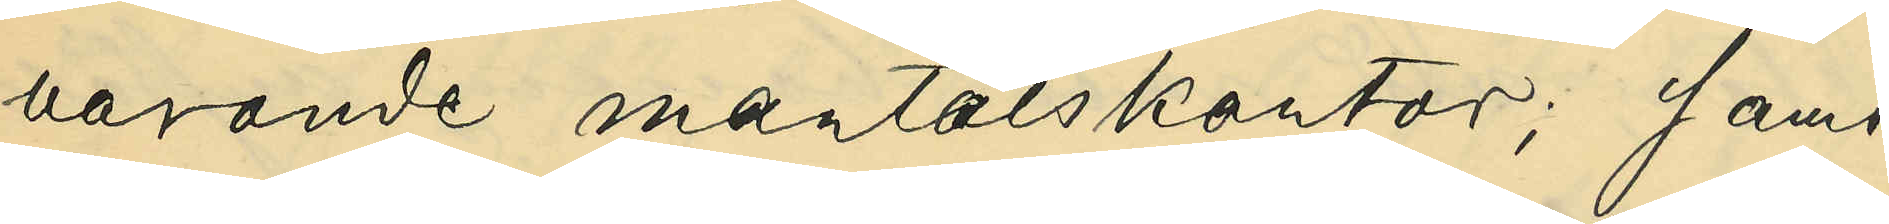varande mantalskontor; samt
